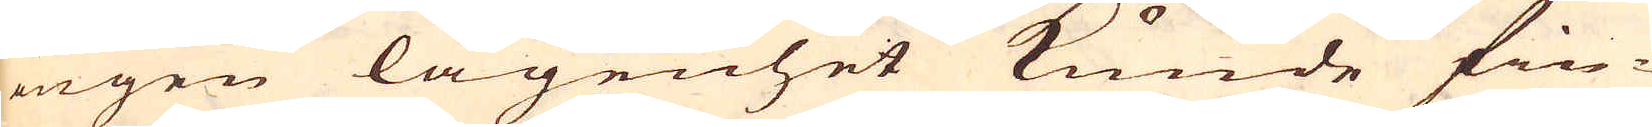ingen lägenhet kunde fin-
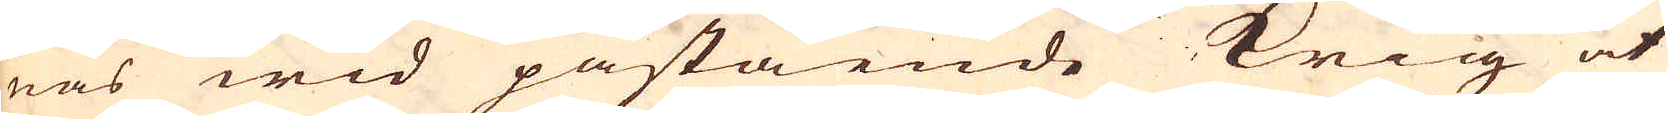nas wid påstående krig at
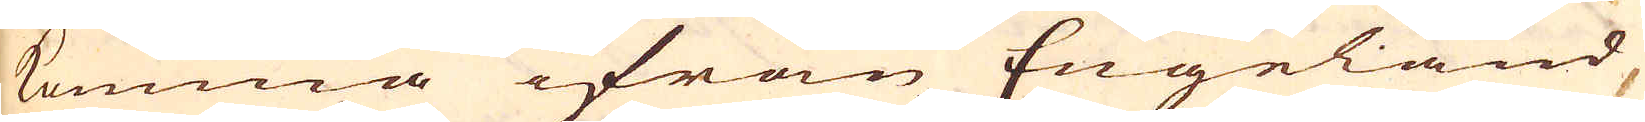komma ifrån Engeland
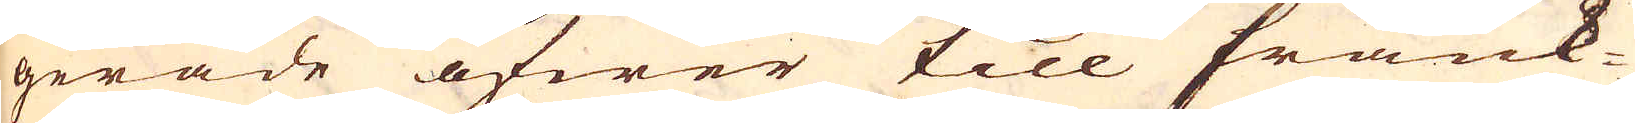gerade öfwer till Frank-
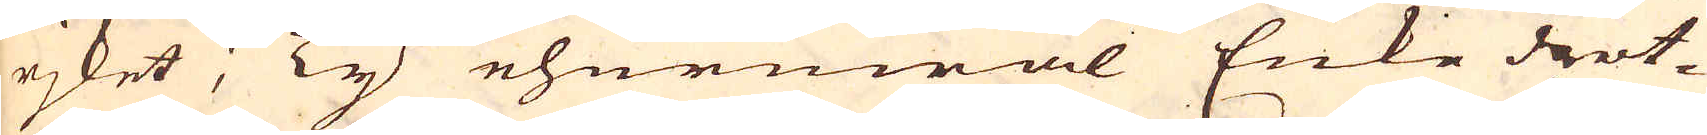rjket; Ty ehuruwäl Enke drott-
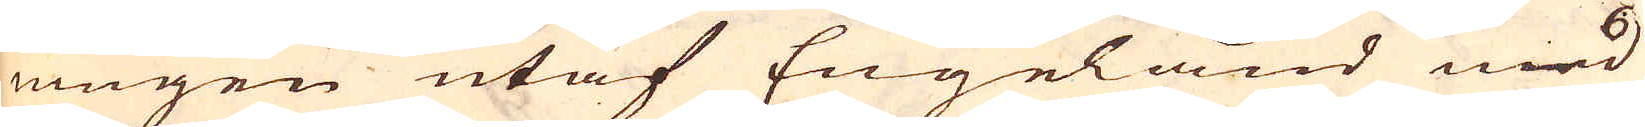ningen utaf Engeland med
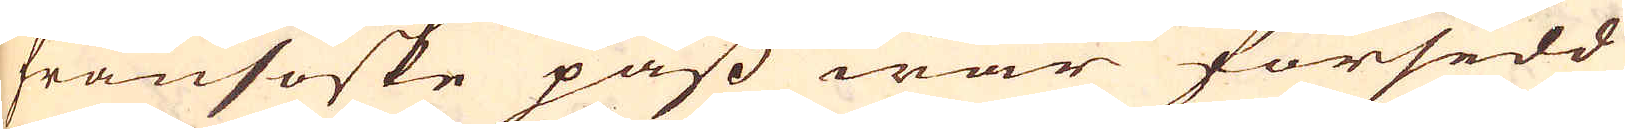fransöske pass war försedd
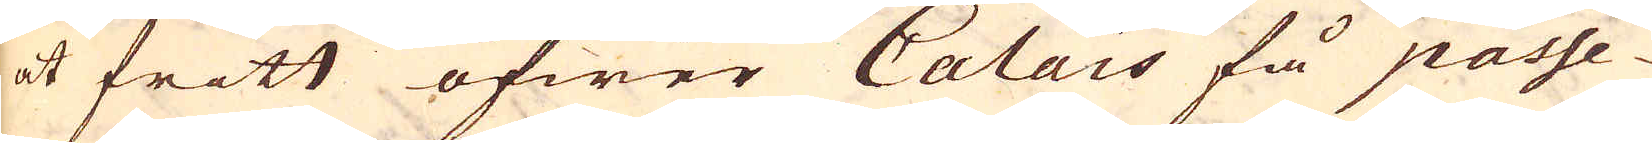at fritt öfwer Calais få passe-
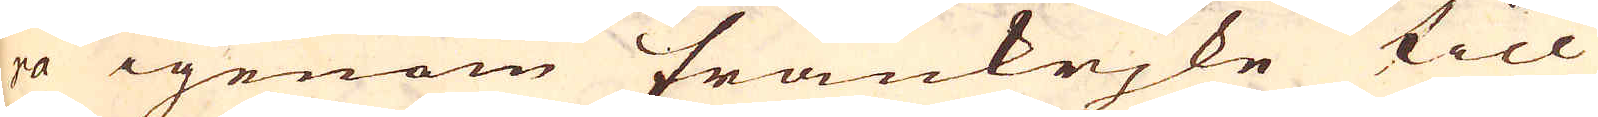ra igenom Frankrjke till
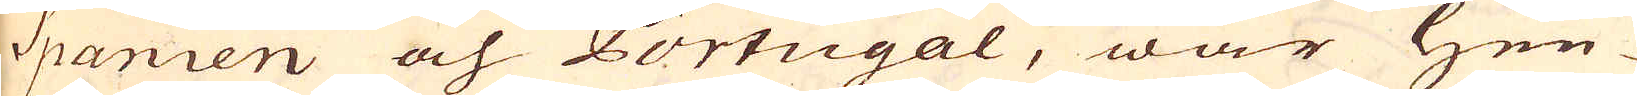Spanien och Portugal, war Hen-
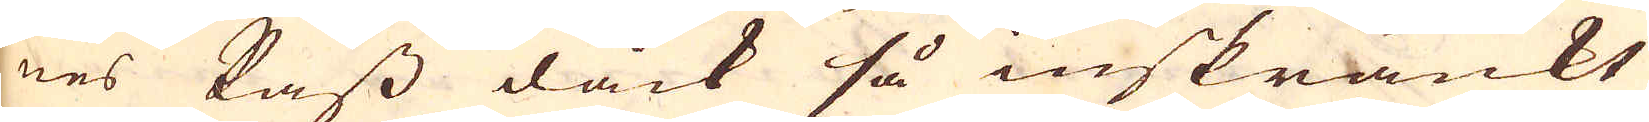nes Pass dåck så inskränkt
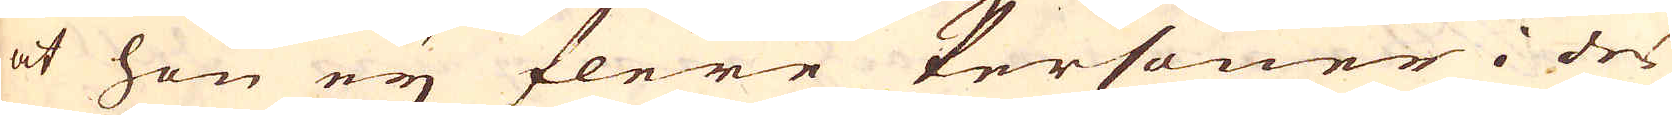at hon ey flere Personer i des
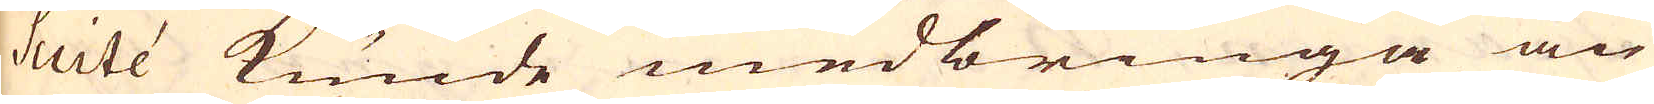Suité kunde medbringa än
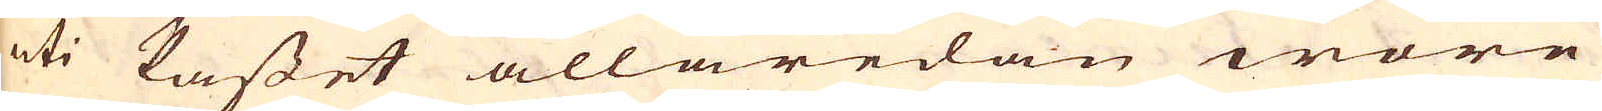uti Passet allaredan wore
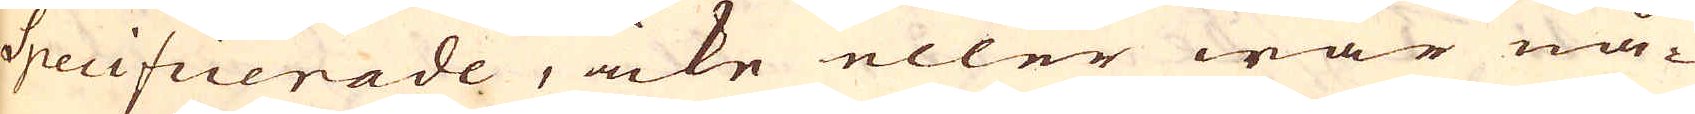Specificerade, icke eller war nå-
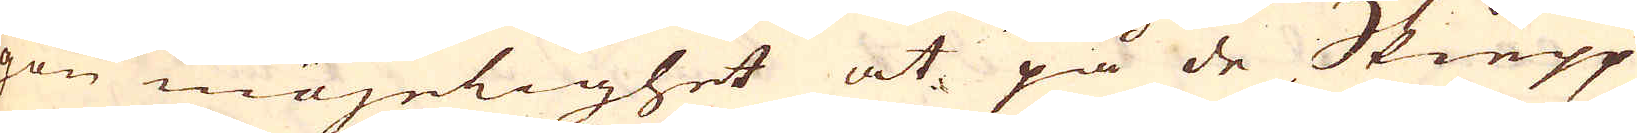gon möjelighet at på de Skiepp
